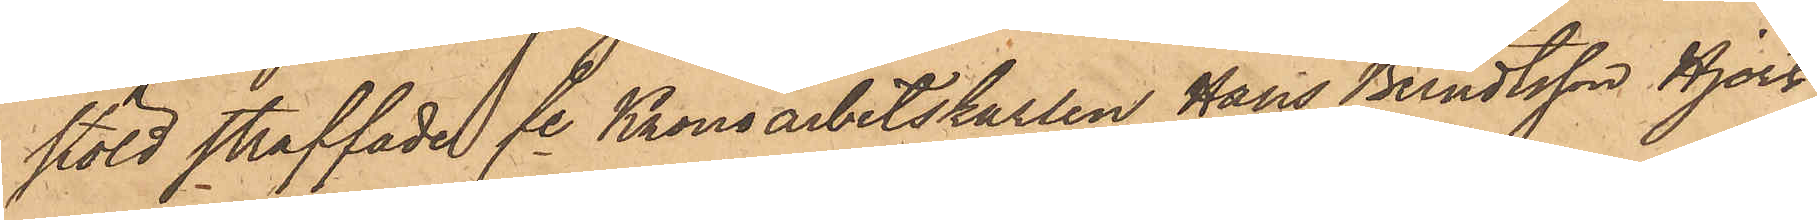stöld straffade fe Kronoarbetskarlen Hans Berndtsson Hjort,
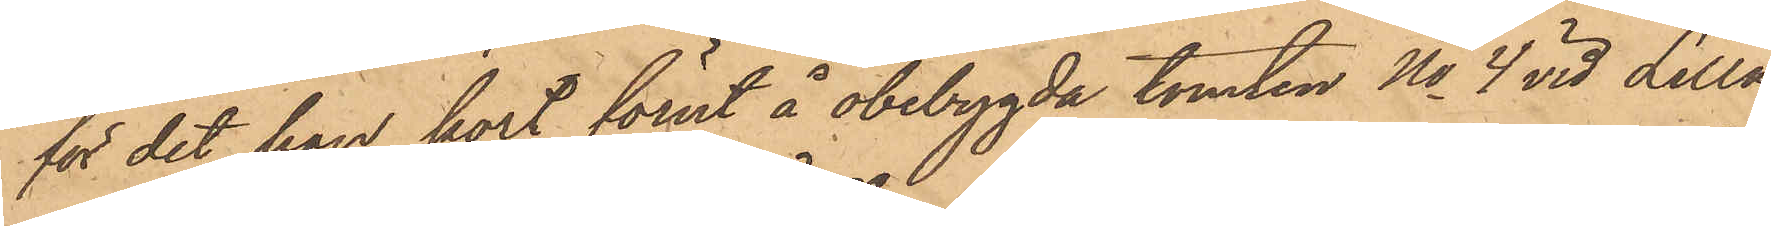för det han kort förut å obebygda tomten No 4 vid Lilla
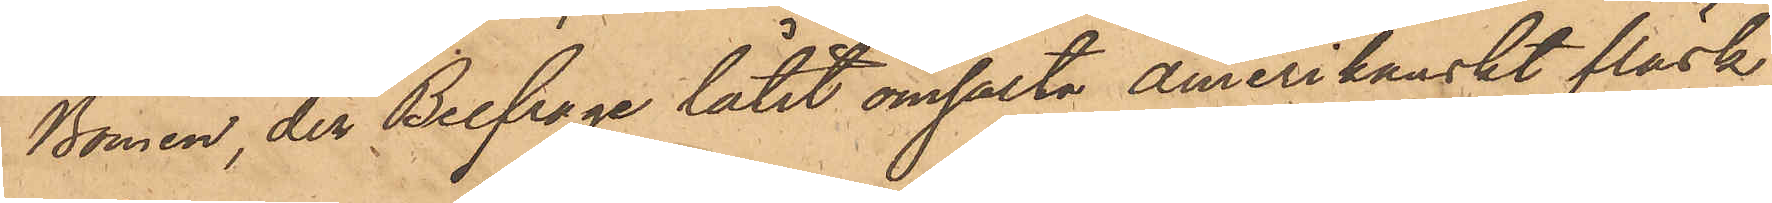Bomen, der Belfrage låtit omsalta Amerikanskt fläsk,
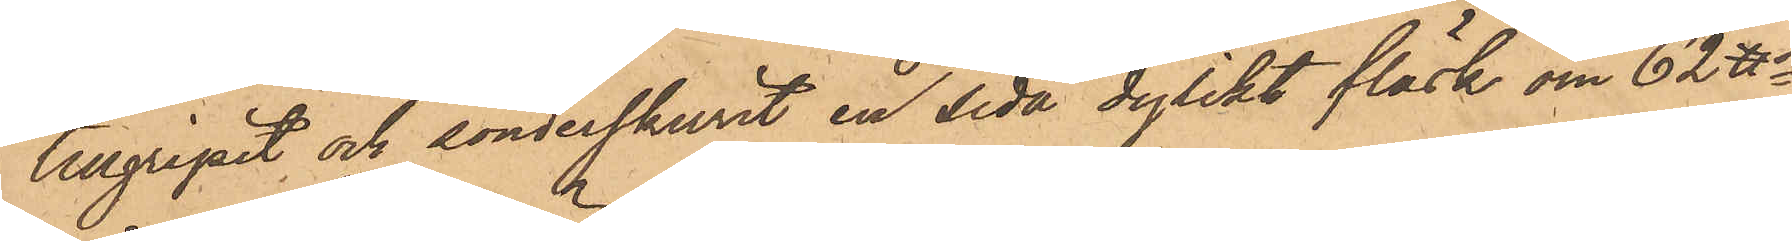tillgripit och sönderskurit en sida dylikt fläsk om 62 ℔
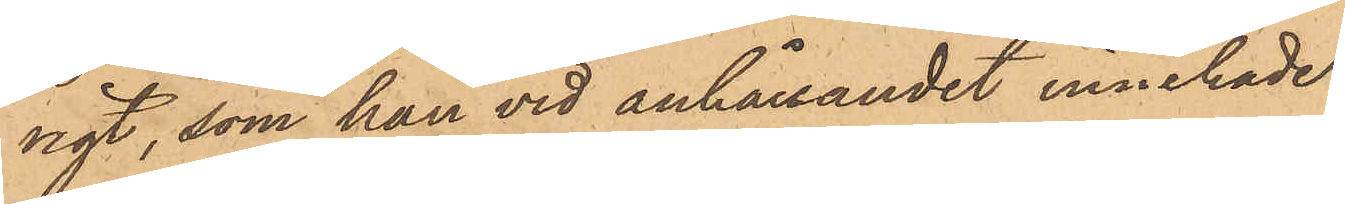ngt, som han vid anhållandet innehade.
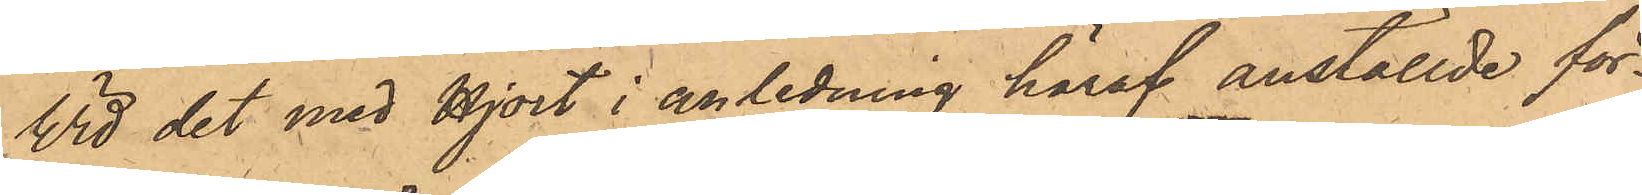Vid det med Hjort i anledning häraf anställde för¬
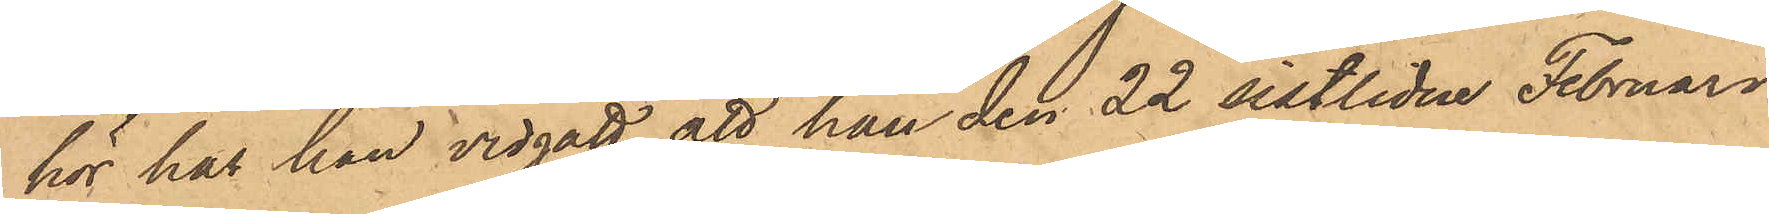hör har han vidgått, att han den 22 sistlidne Februari
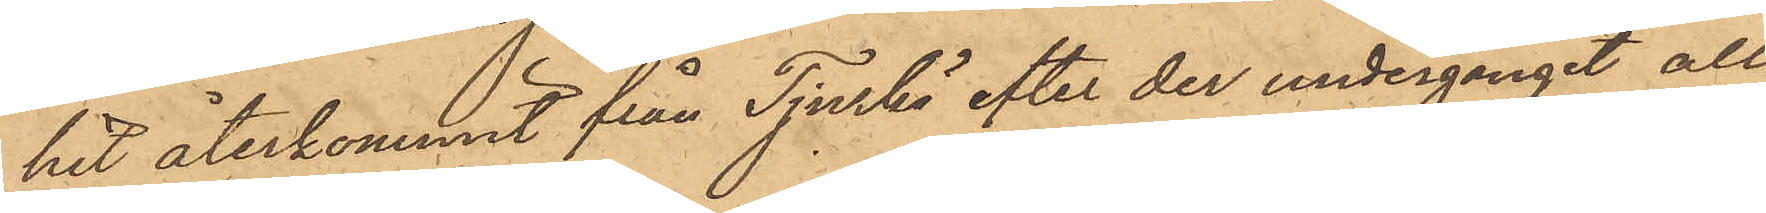hit återkommit från Tjurkö efter der undergånget all¬
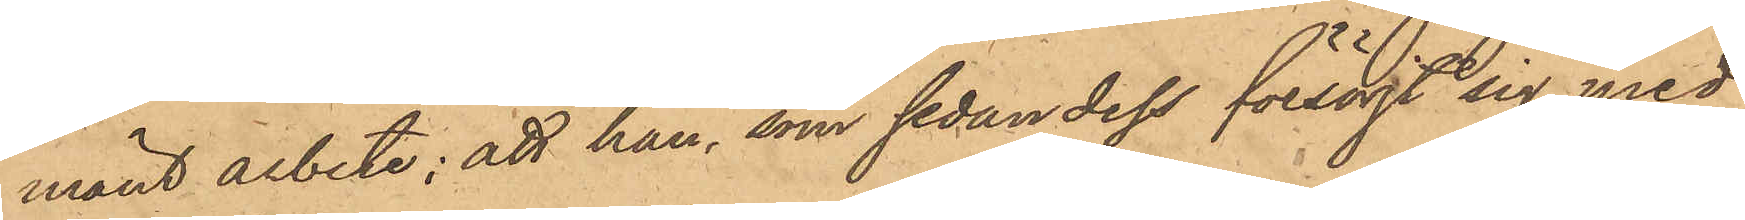mänt arbete; att han, som sedan dess försörjt sig med
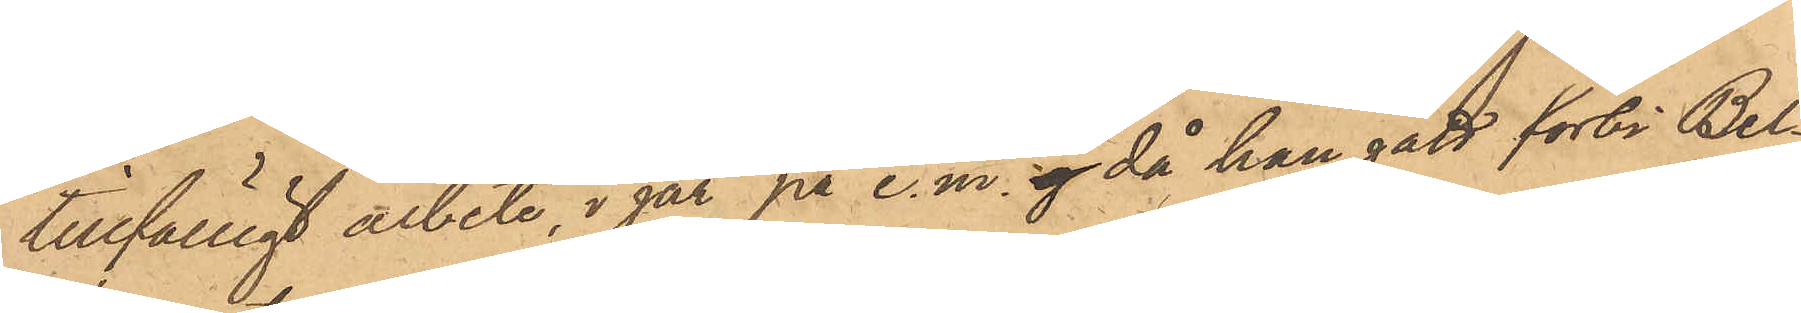tillfälligt arbete, i går på e.m. då han gått förbi Bel¬
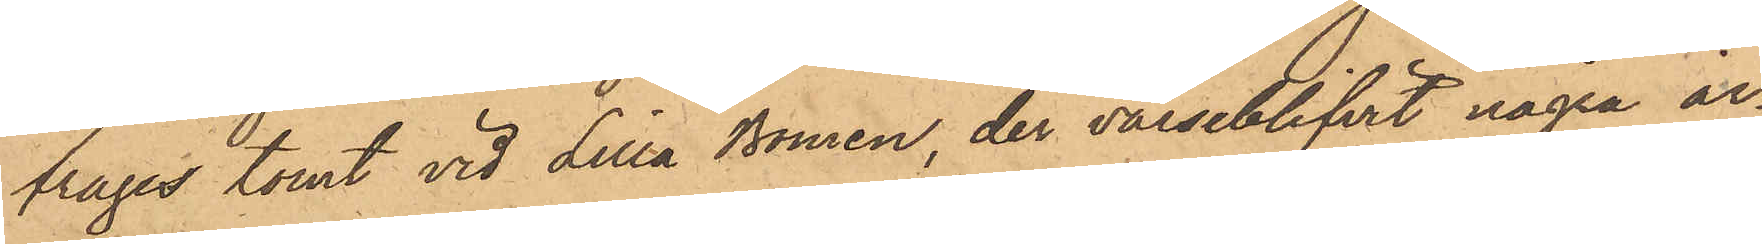frages tomt vid Lilla Bomen, der varseblifvit några ar¬
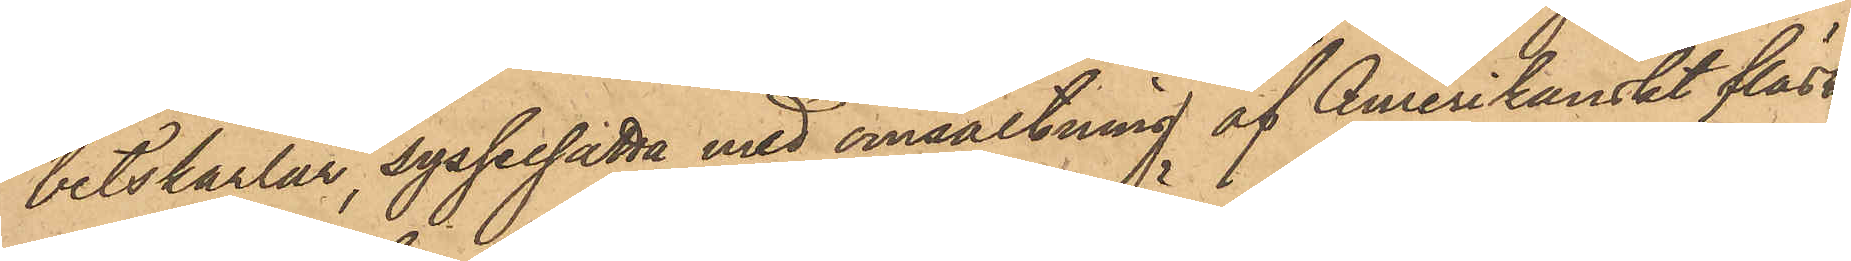betskarlar, sysselsätta med omsaltning af Amerikanskt fläsk;
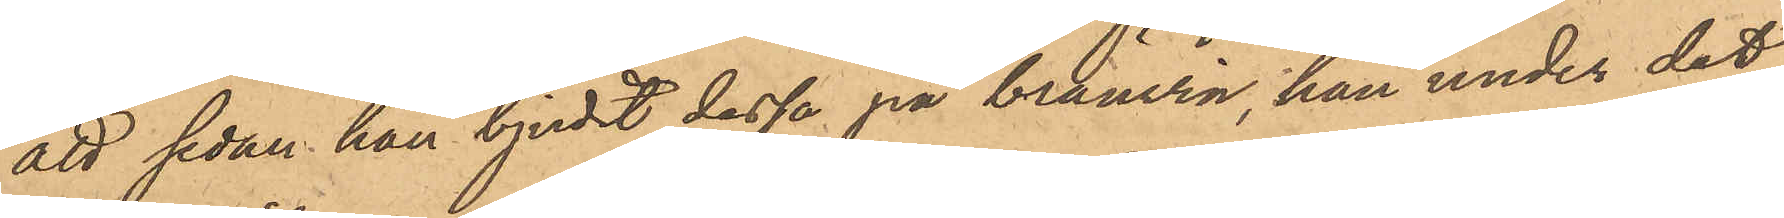att sedan han bjudit dessa på bränvin, han under det
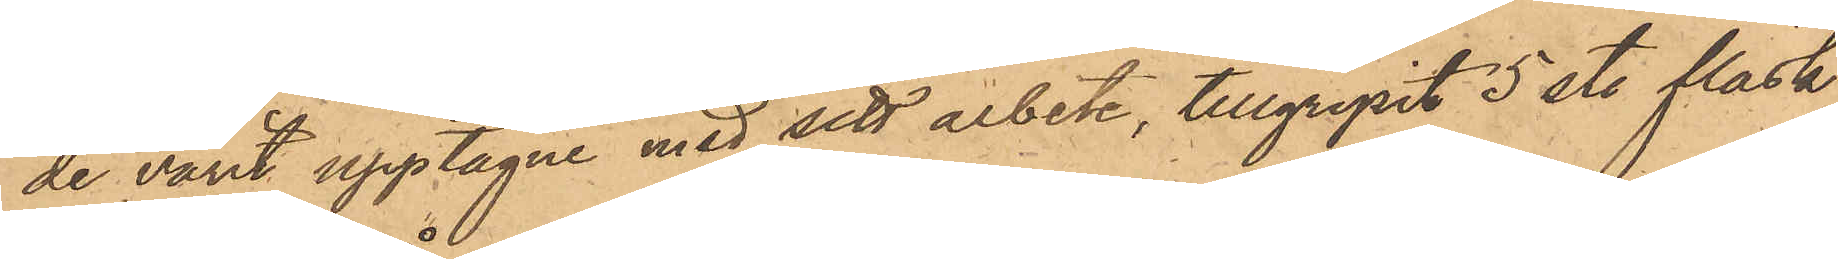de varit upptagne med sitt arbete, tillgripit 5 st. fläsk
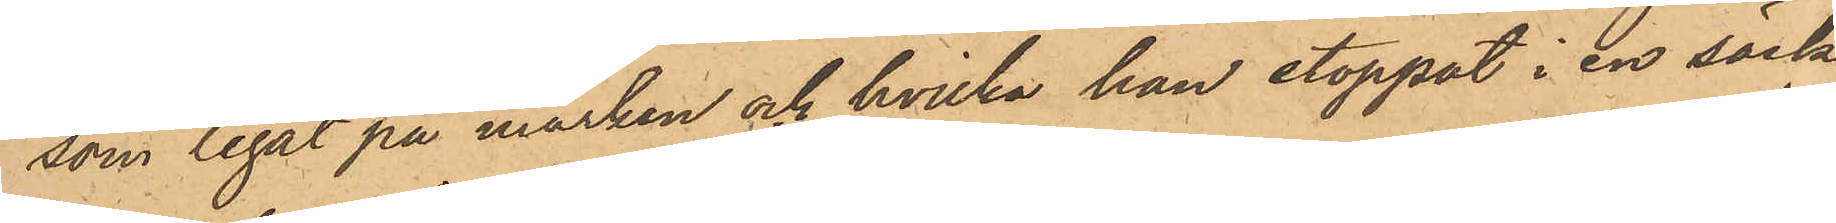som legat på marken och hvilka han stoppat i en säck,
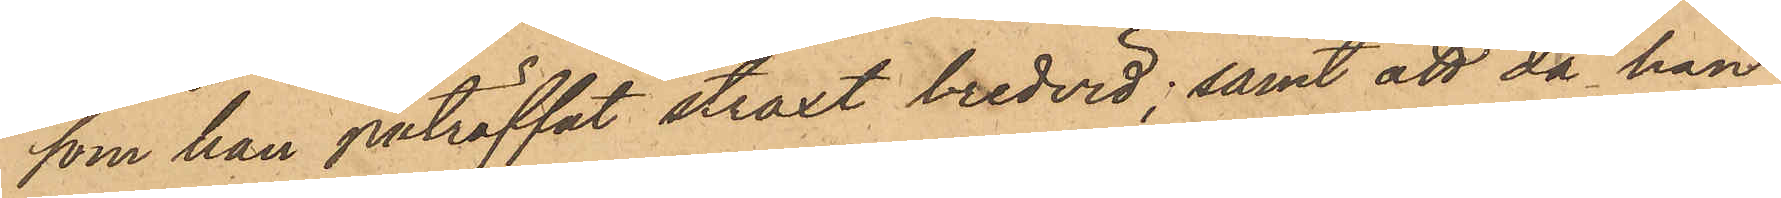som han påträffat straxt bredvid; samt att då han
